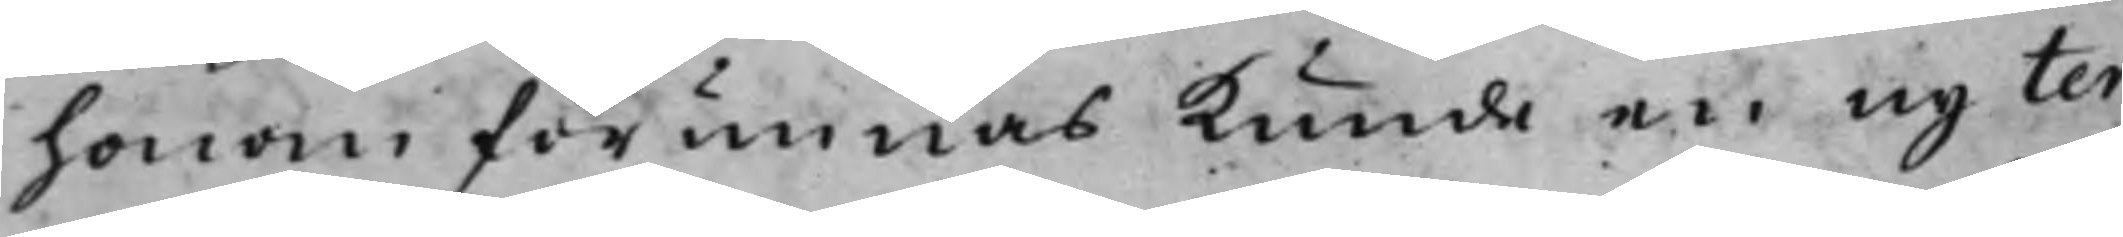honom förunnas kunde en ny ter¬
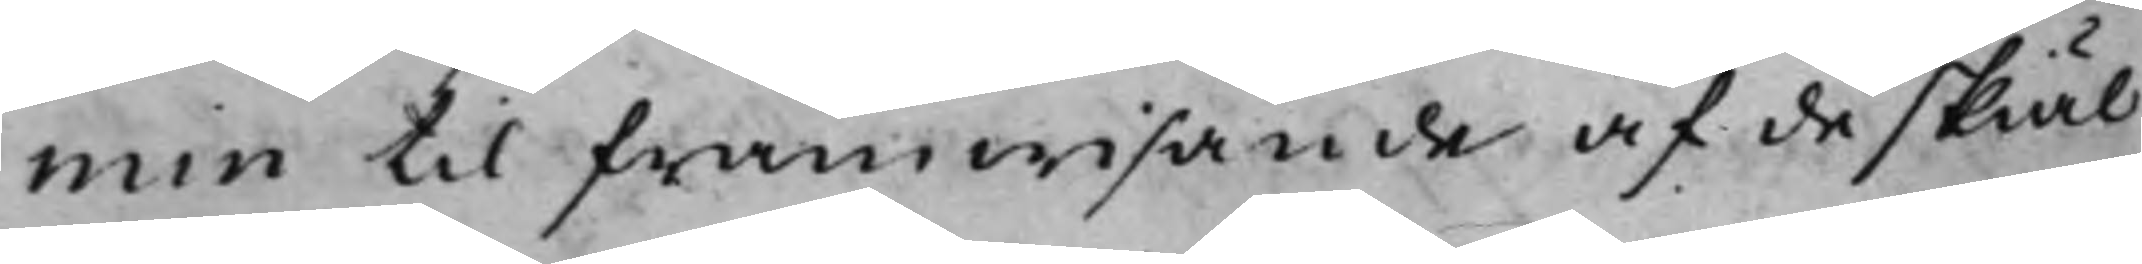min til framwisande af de skiäl
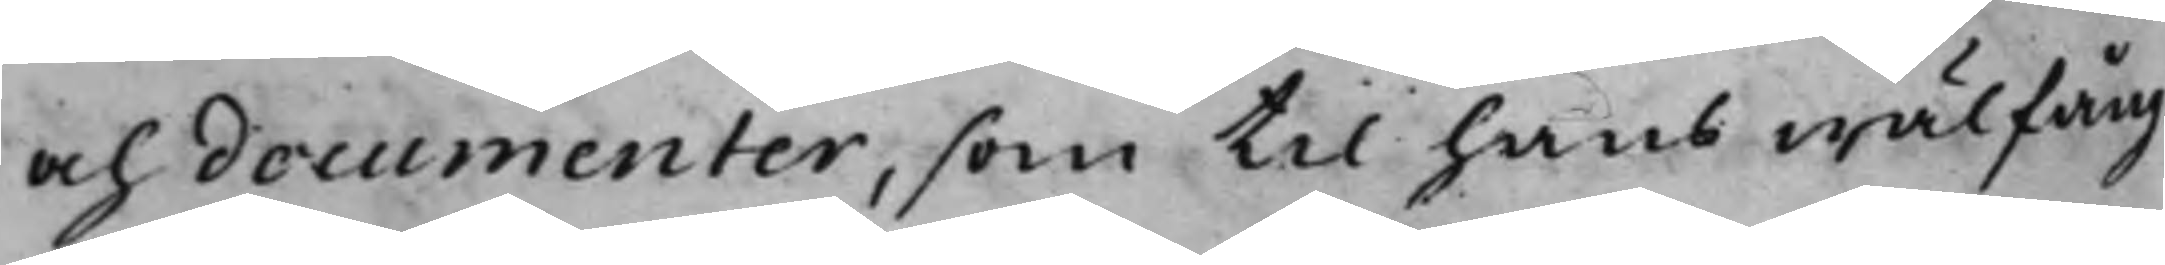och documenter, som till hans wälfång¬
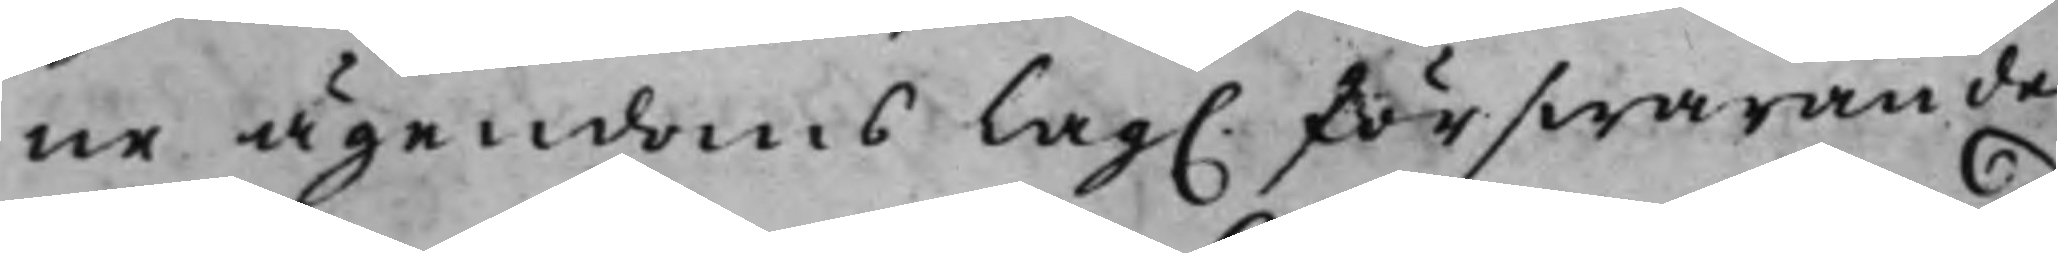ne ägendoms Lag. förswarande
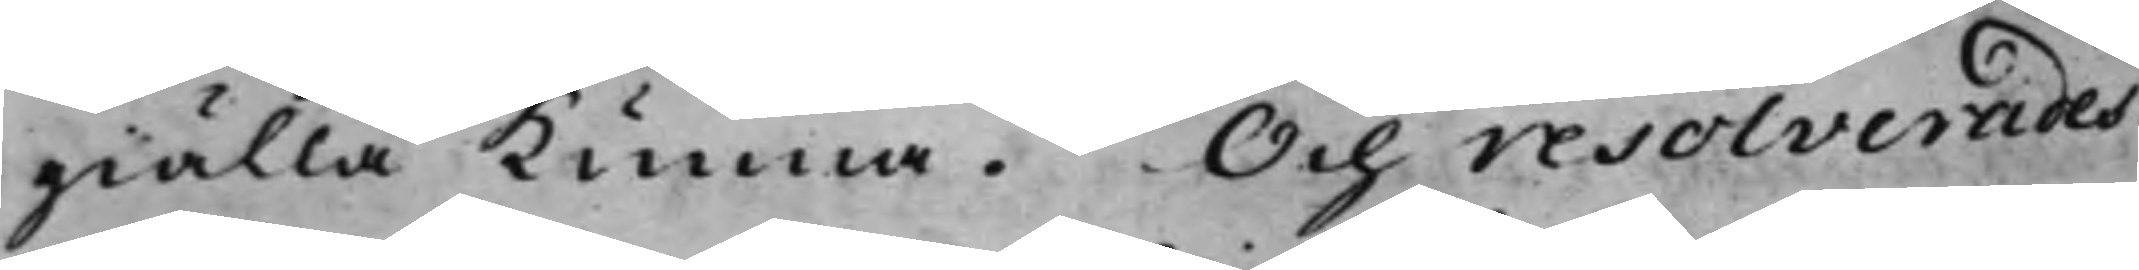giälla kunna. Och resolverades:
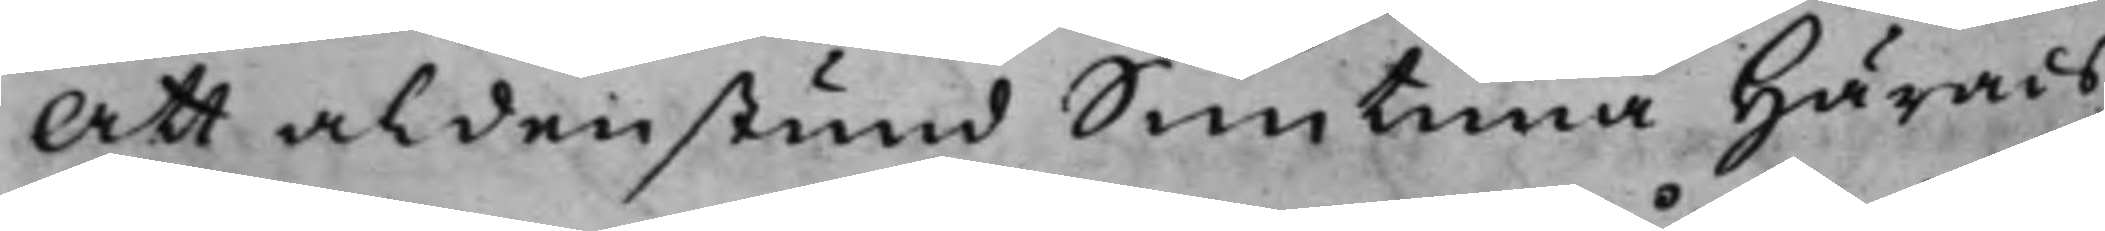Att aldenstund Simtuna Härads¬
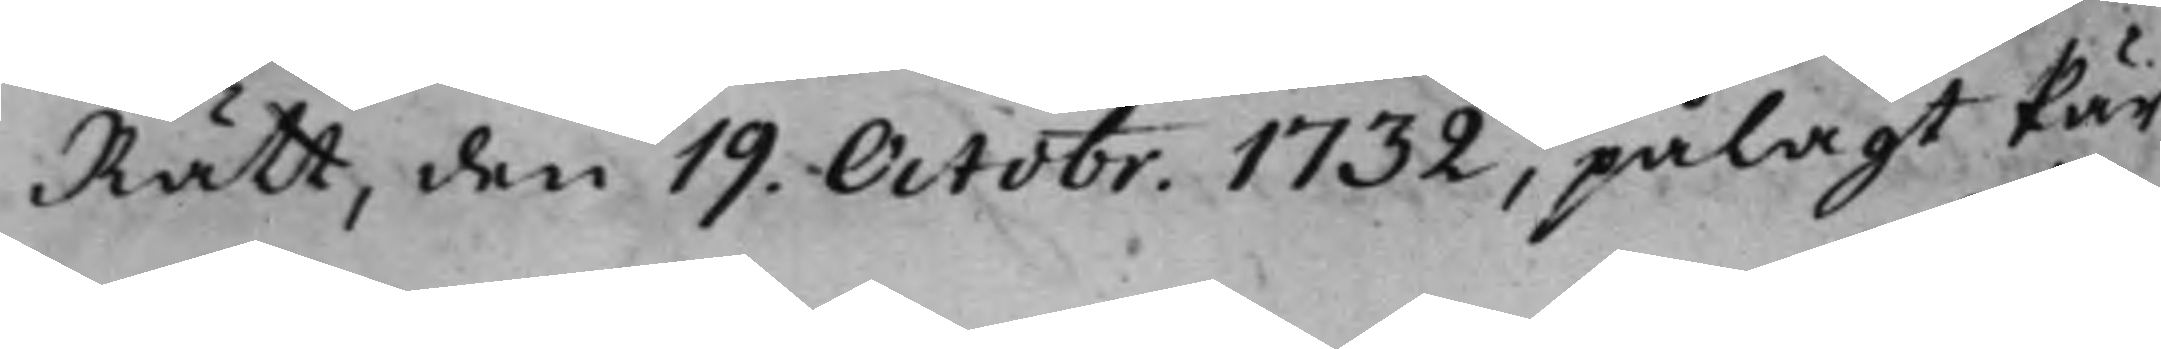Rätt, den 19. Octobr. 1732, pålagt Pär
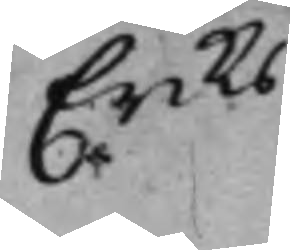Eriks¬
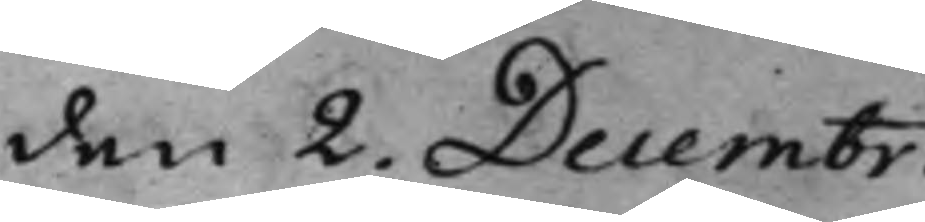den 2. Decembr.
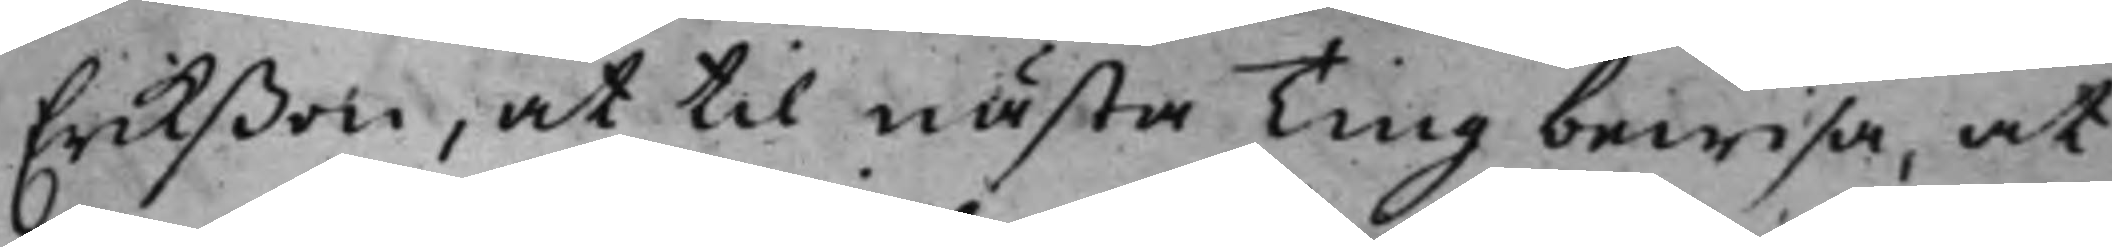Erikßon, at till nästa Ting bewisa, at
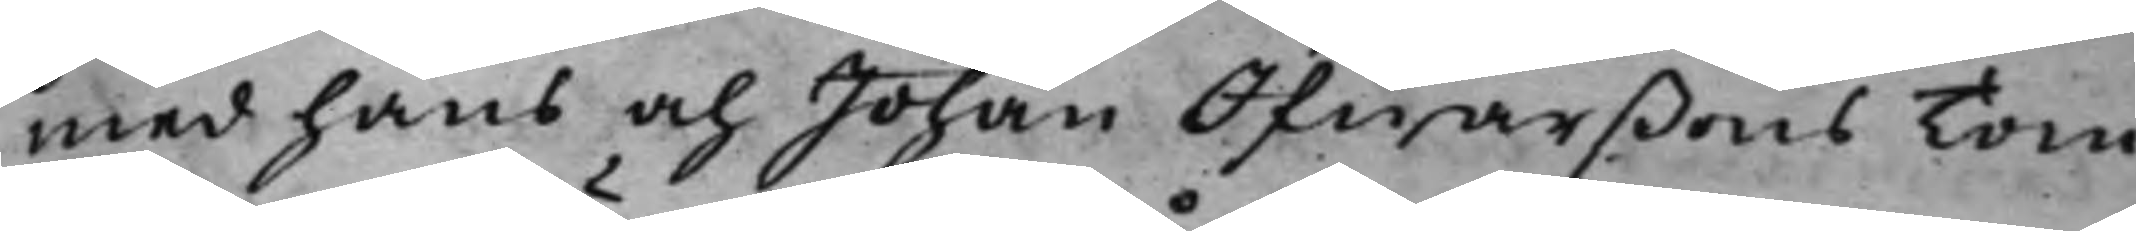med hans och Johan Ifwarßons Tom¬
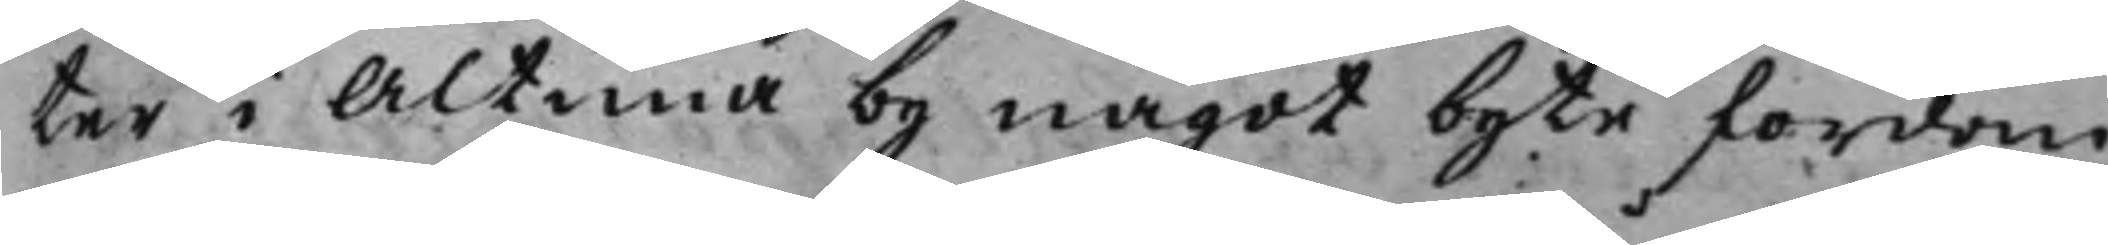ter i Altuna by något byte fordom
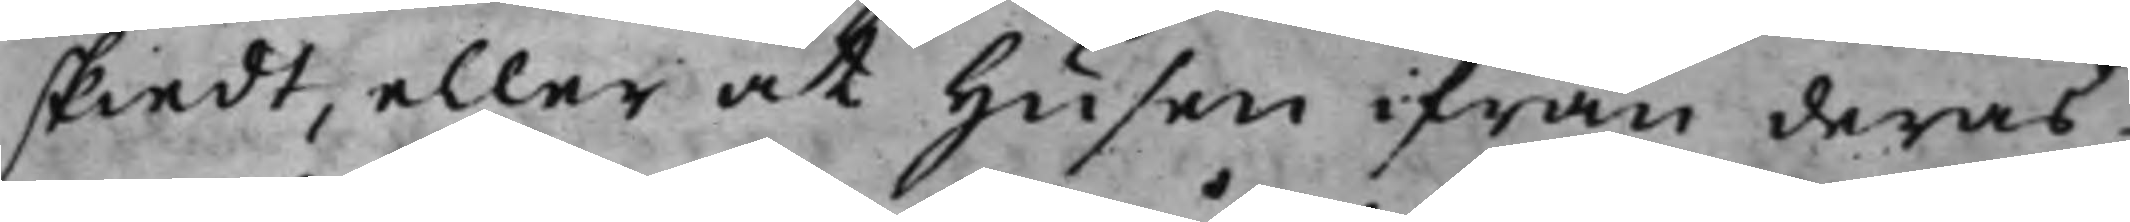skiedt, eller at Husen ifrån deras
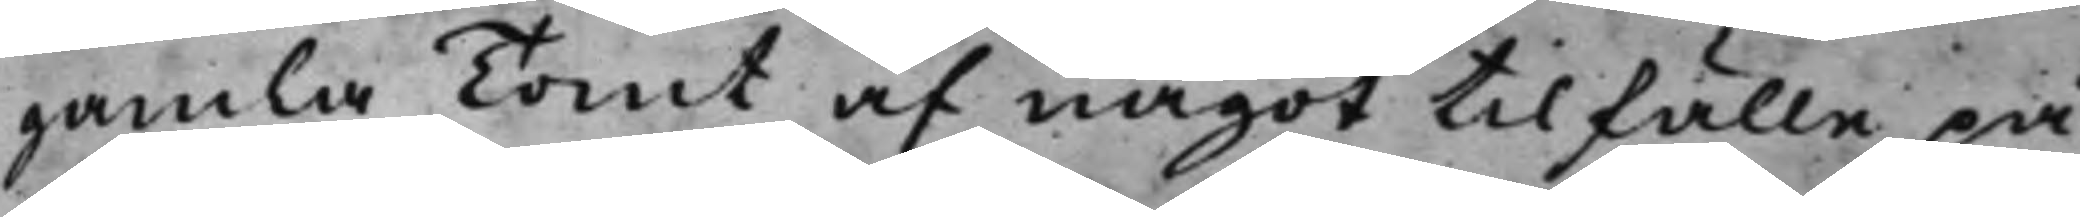gamla Tomt af något tillfälle på
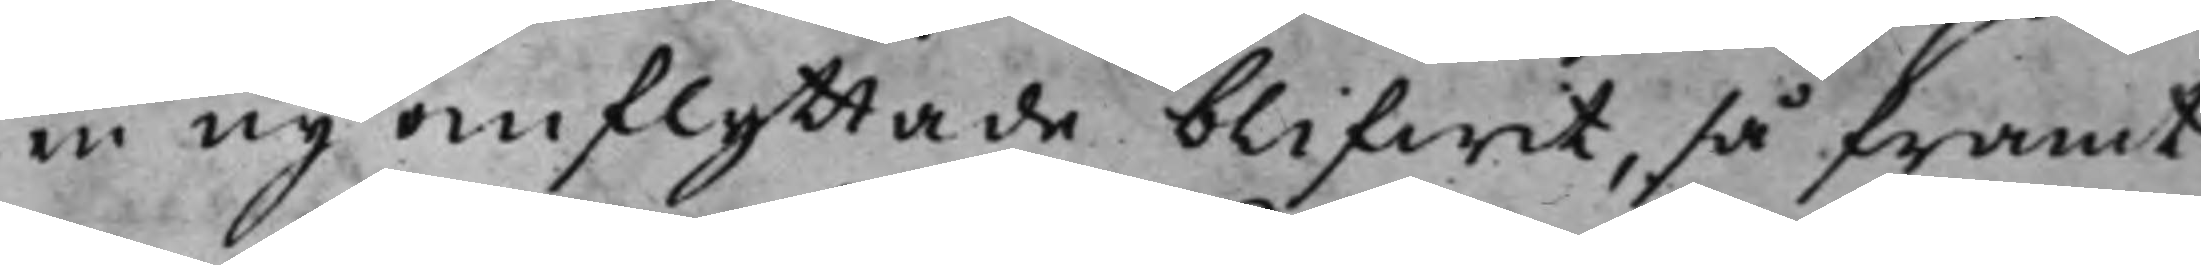en ny omflyttade blifwit, så framt
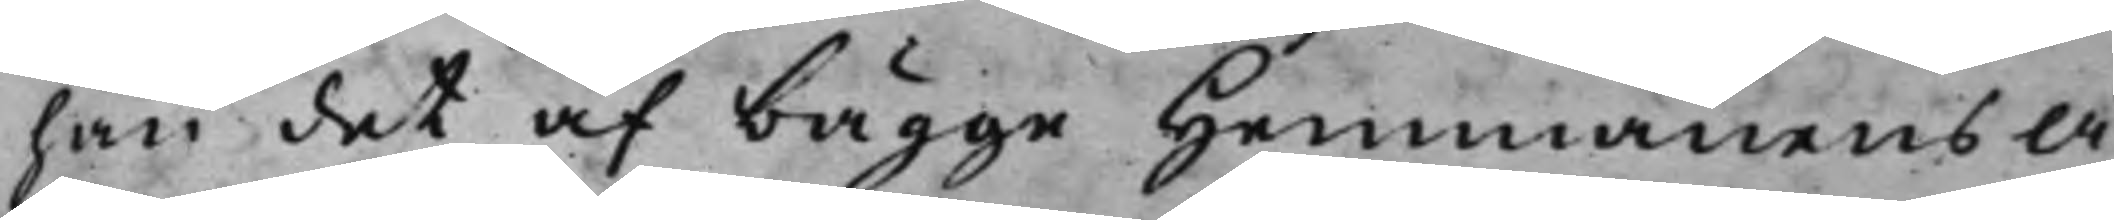han det af bägge hemmanens Å¬
